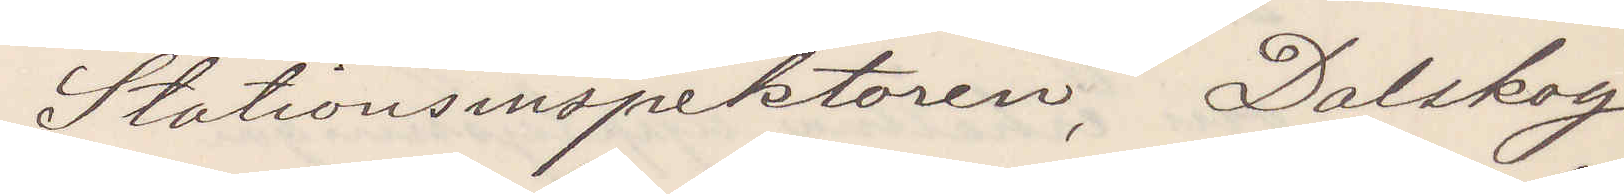Stationsinspektoren, Dalskog
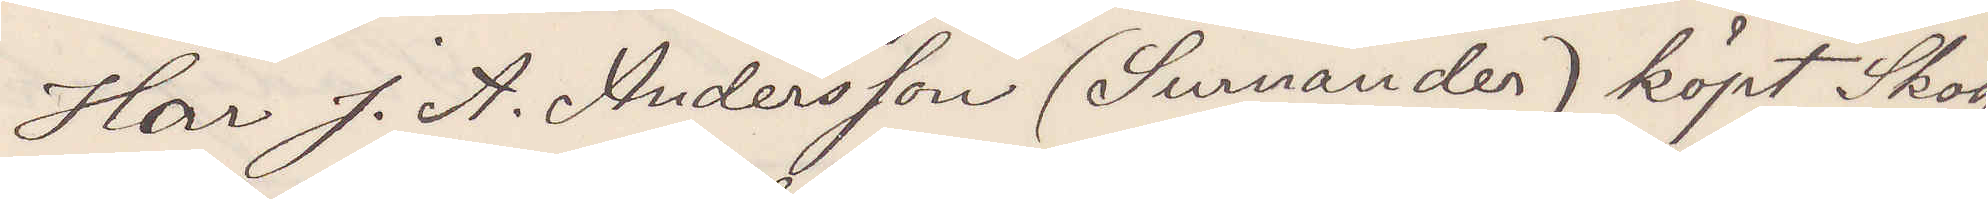Har J. A. Andersson (Surnander) köpt Skog
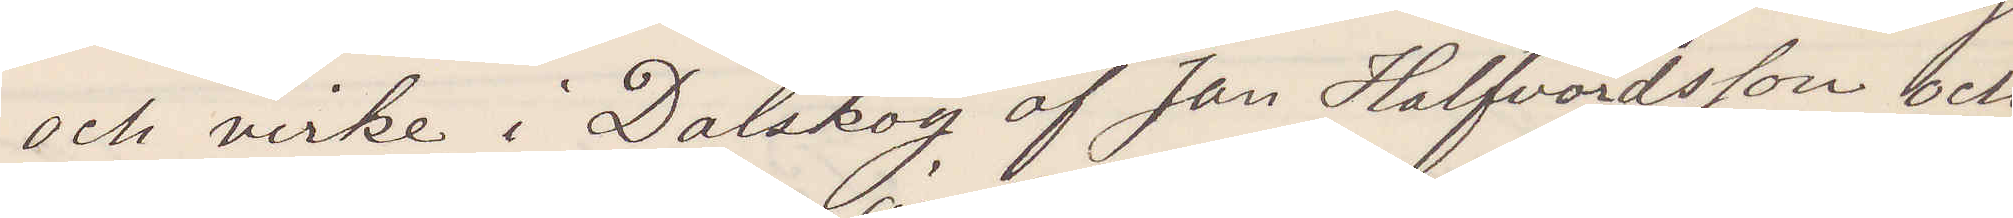och virke i Dalskog af Jan Halfvordsson och
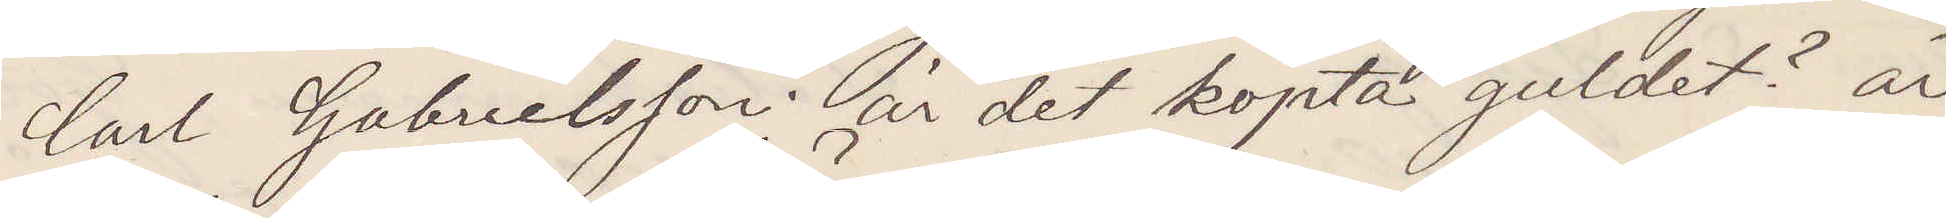Carl Gabrielsson; är det köpta guldet? är
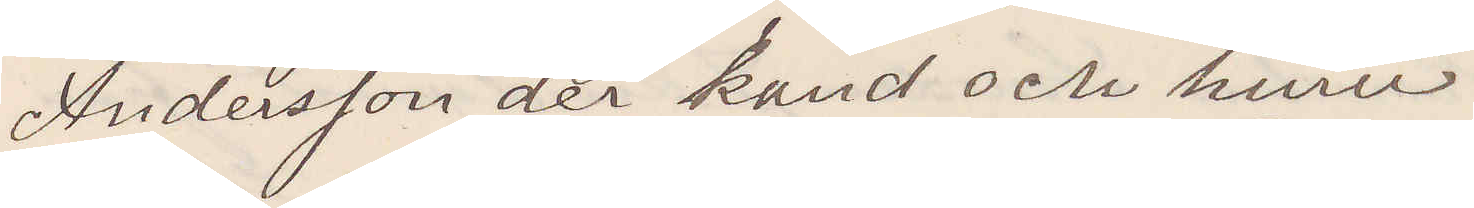Andersson der känd och huru.
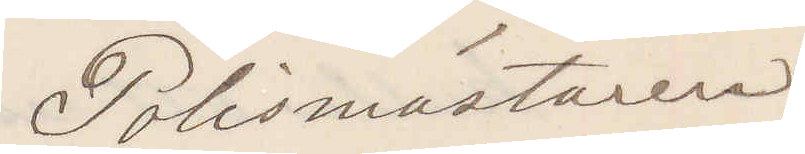Polismästaren
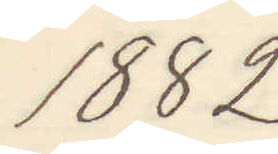1882
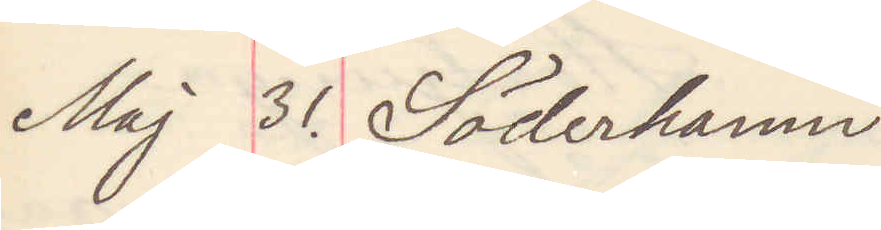Maj 31. Söderhamn
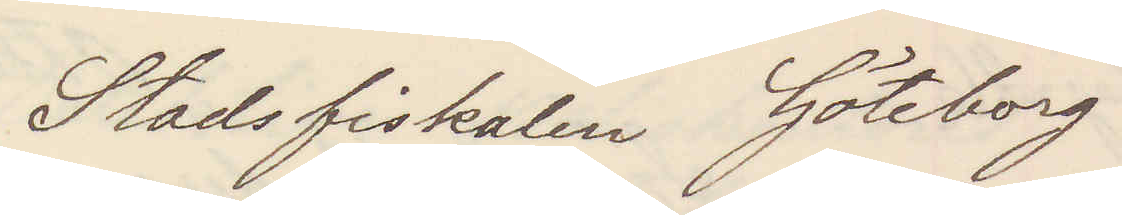Stadsfiskalen Göteborg
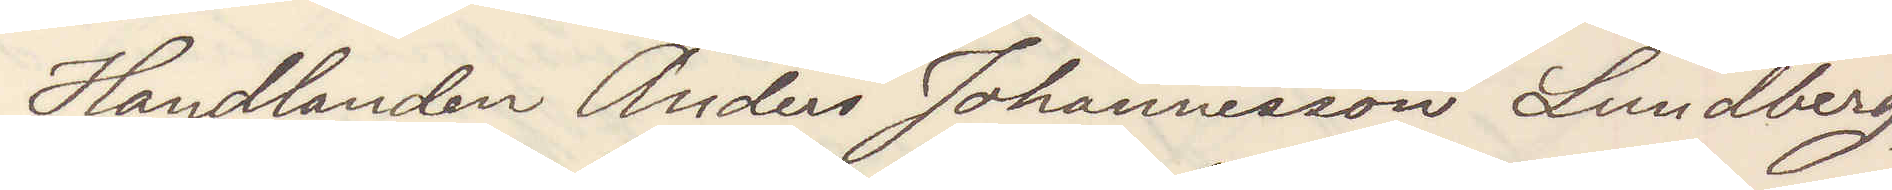Handlanden Anders Johansson Lundberg,
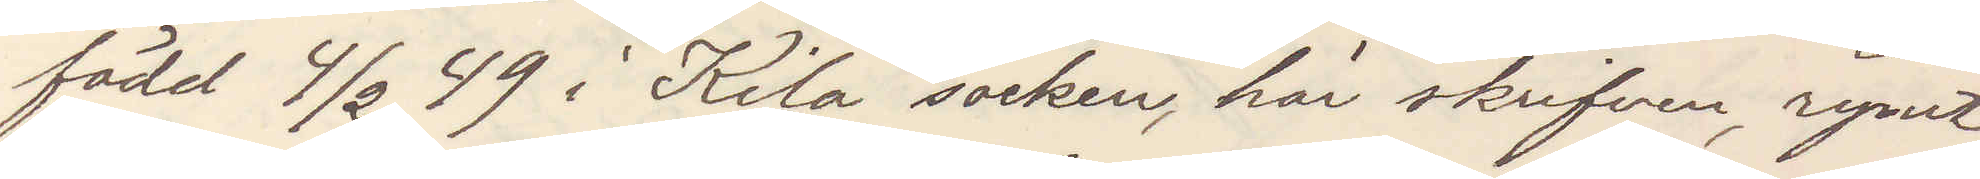född 4/2 49 i Kila, socken, här skrifven, rymt
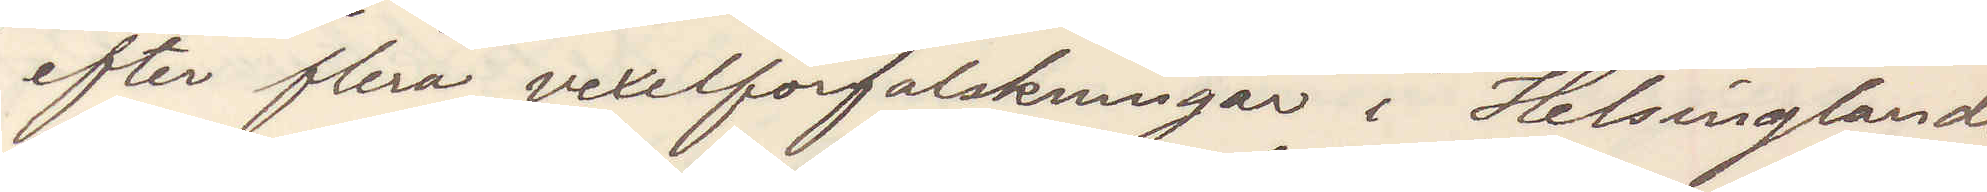efter flera vexelförfalskningar i Helsinglands
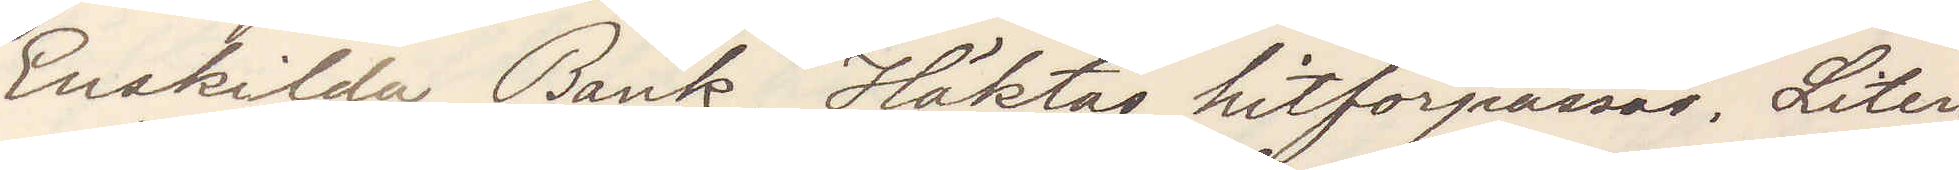Enskilda Bank. Häktas hitförpassas. Liten
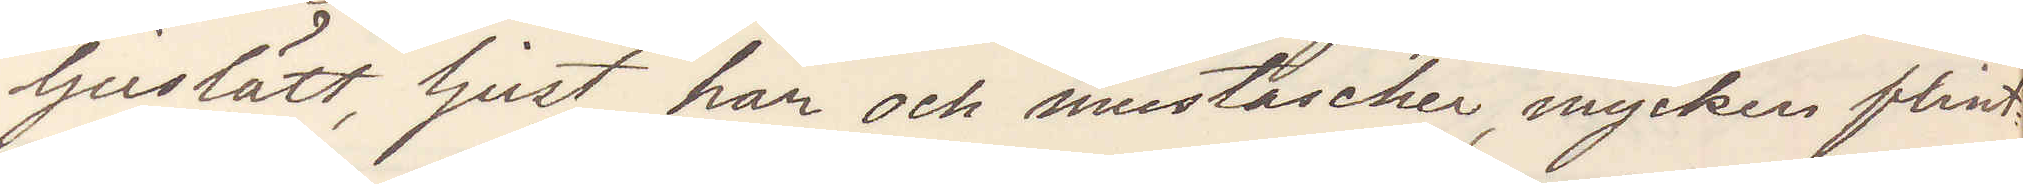ljuslätt, ljust hår och mustascher, mycken flint¬
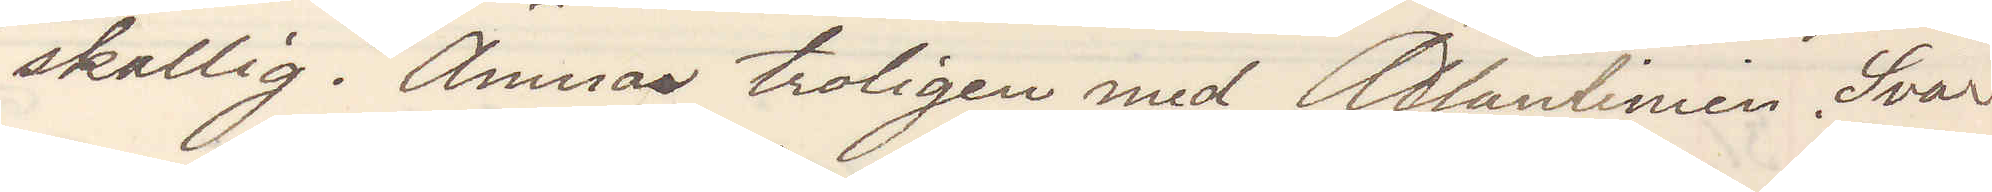skallig. Ämnar troligen med Allanlinien. Svar
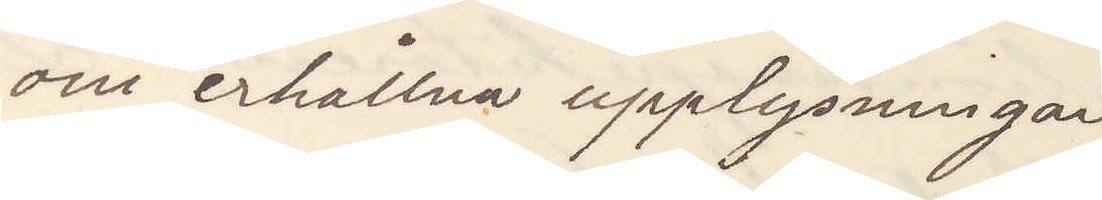om erhållna upplysningar
